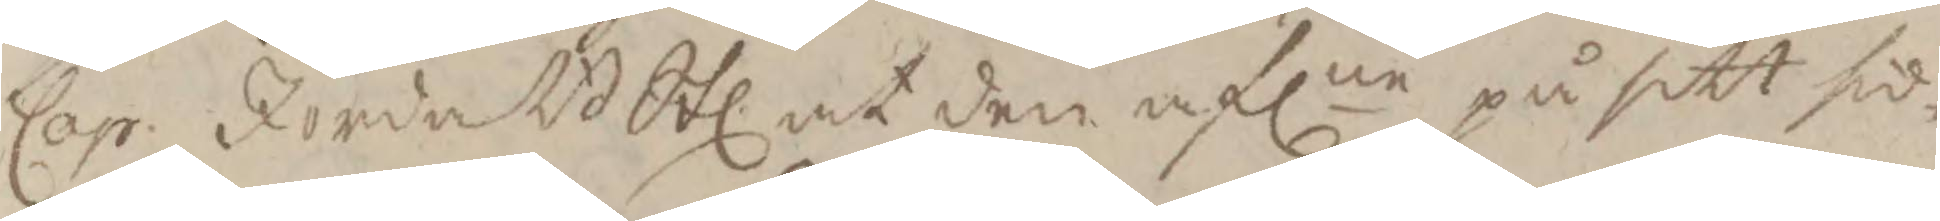Cap. JordaB Stl. at den aflne på sitt sid¬
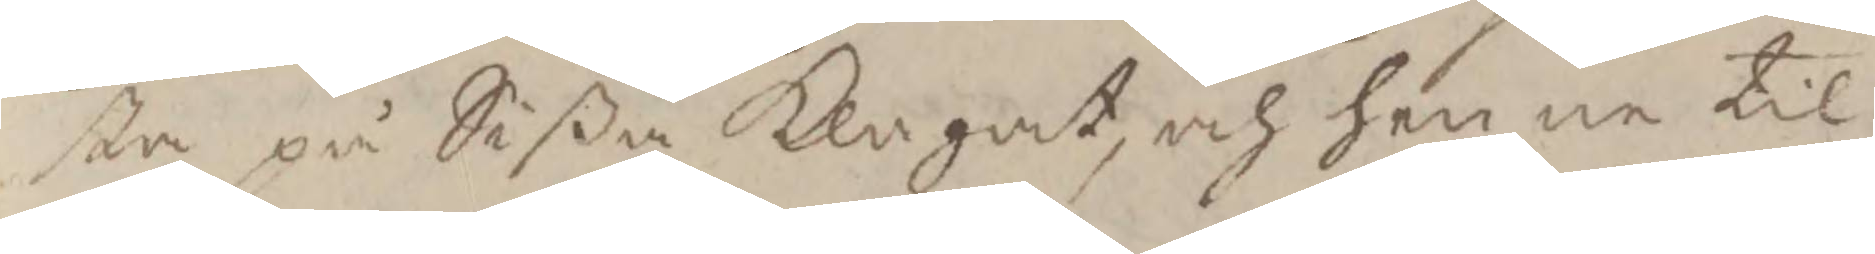sta på Sißa Klagat, och henne til
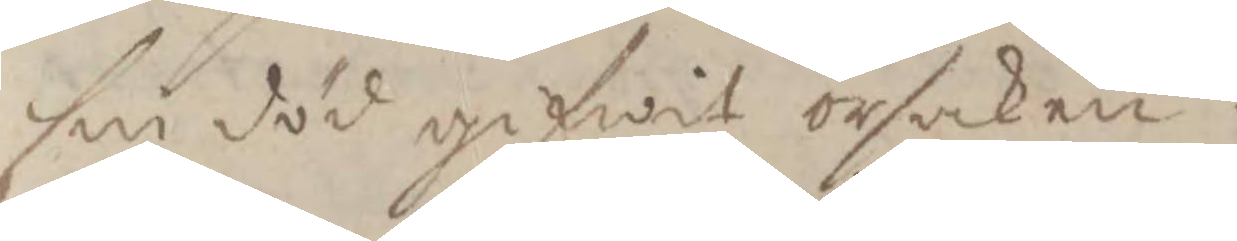sin död gifwit orsaken.
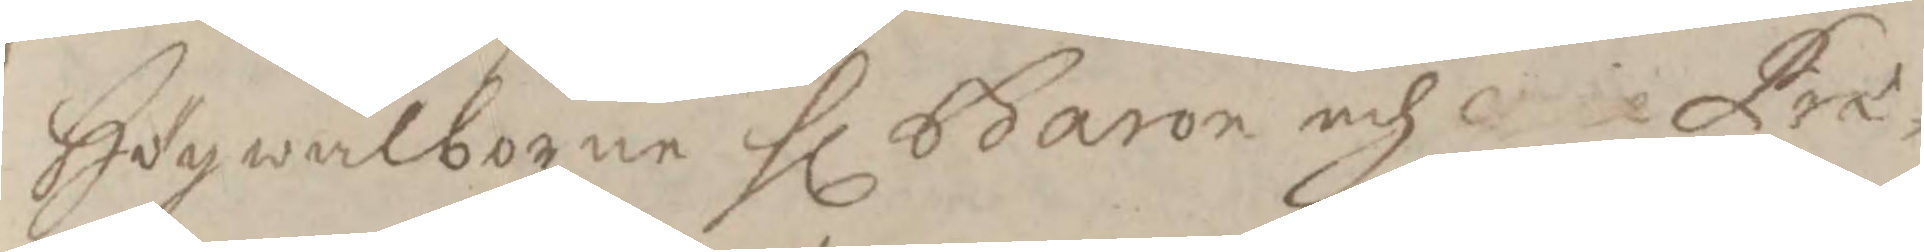Högwälborne Hl baron och vice Præ¬
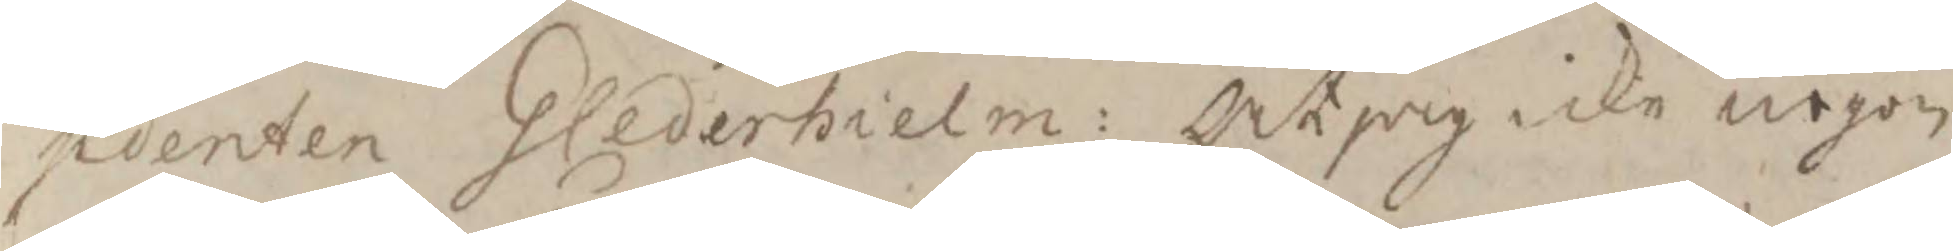sidenten G Cederhielm: At jag icke nogon
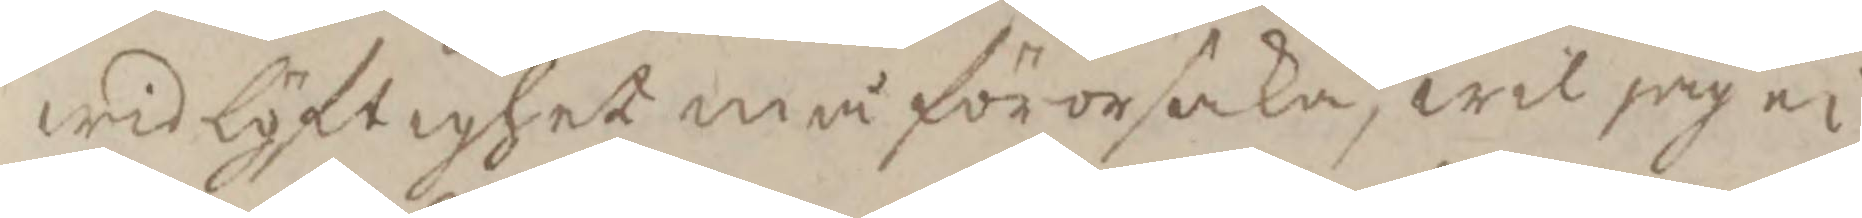wid löftighet må förorsaka, wil jag ei
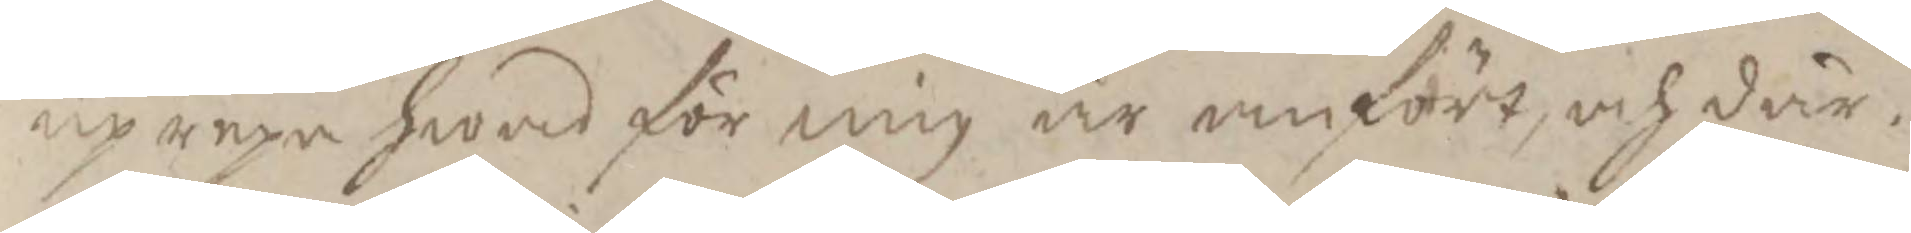uprepa hwad för mig är anfört, och där¬
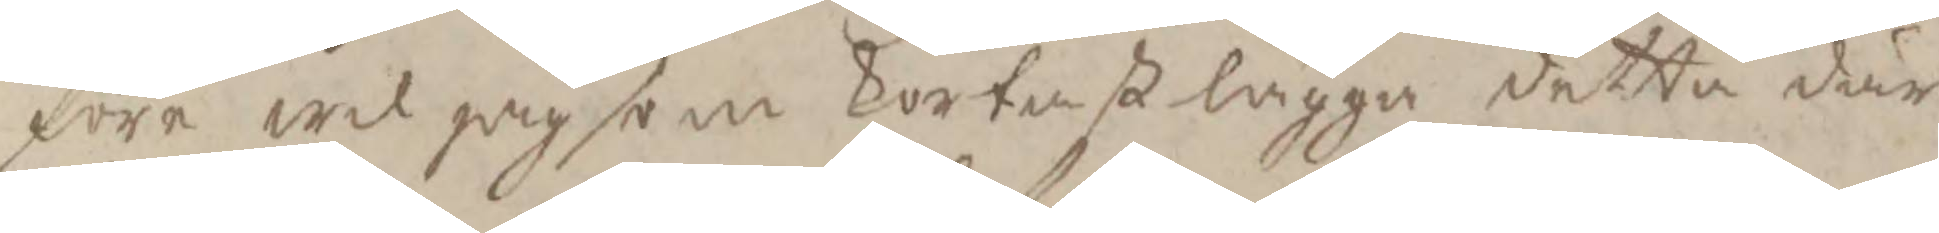före wil jag som kortast lägga detta där
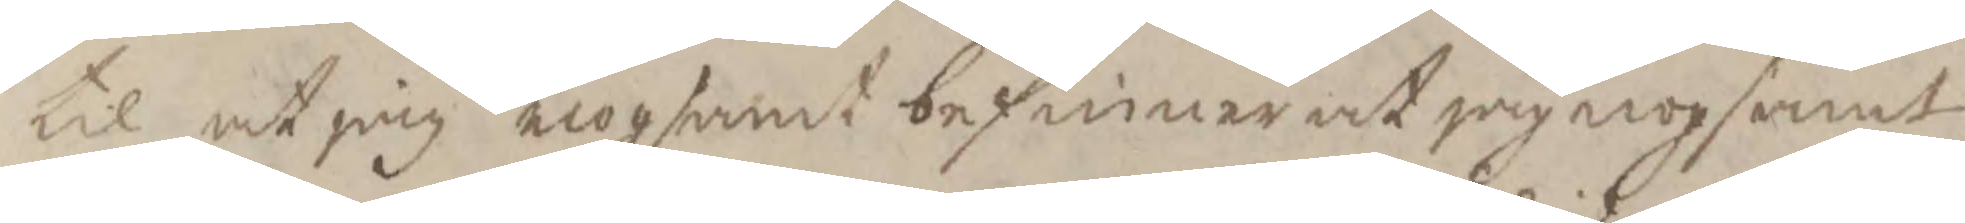til at jag nogsamt befinner at jag nogsamt
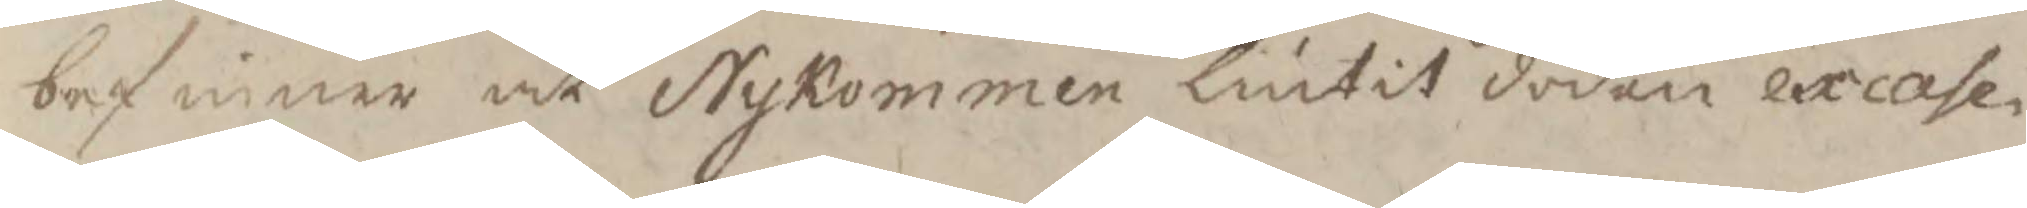befinner at Nykommen liutit döden excase¬
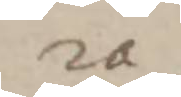ra
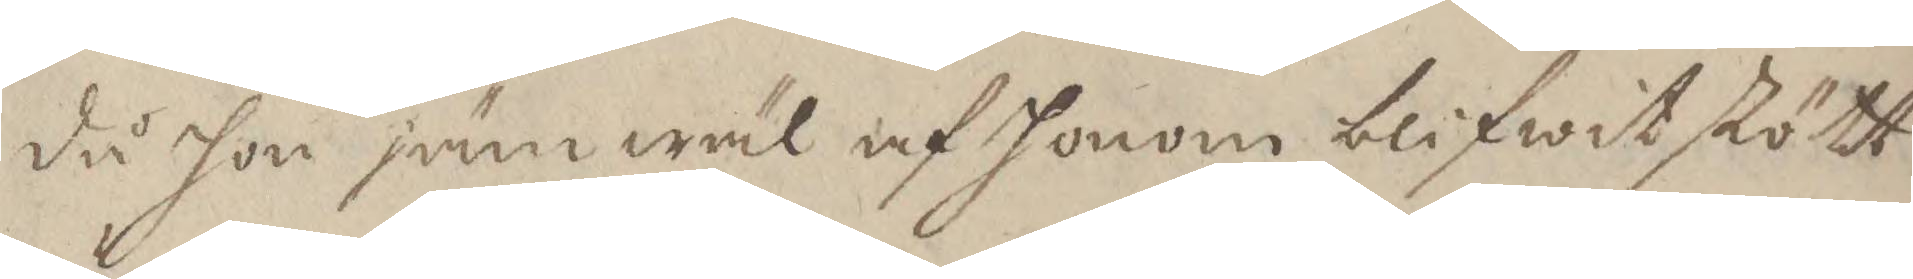då hon jämwäl af honom blifwit stött
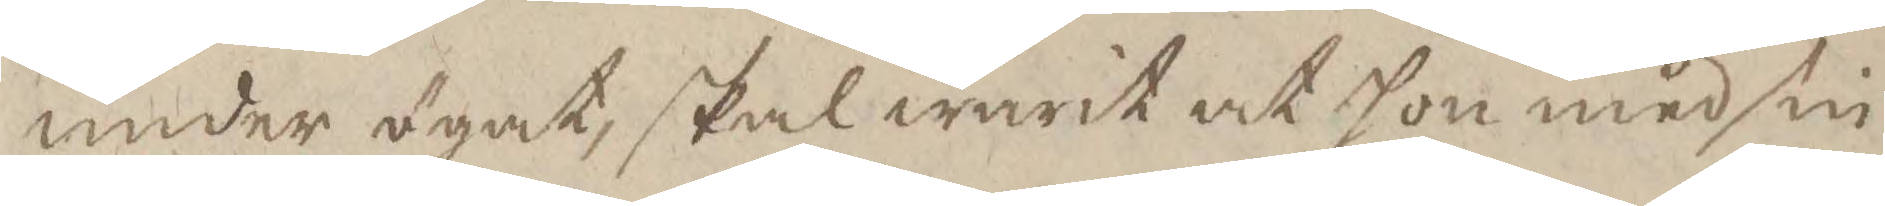under ögat, skal warit at hon med sin
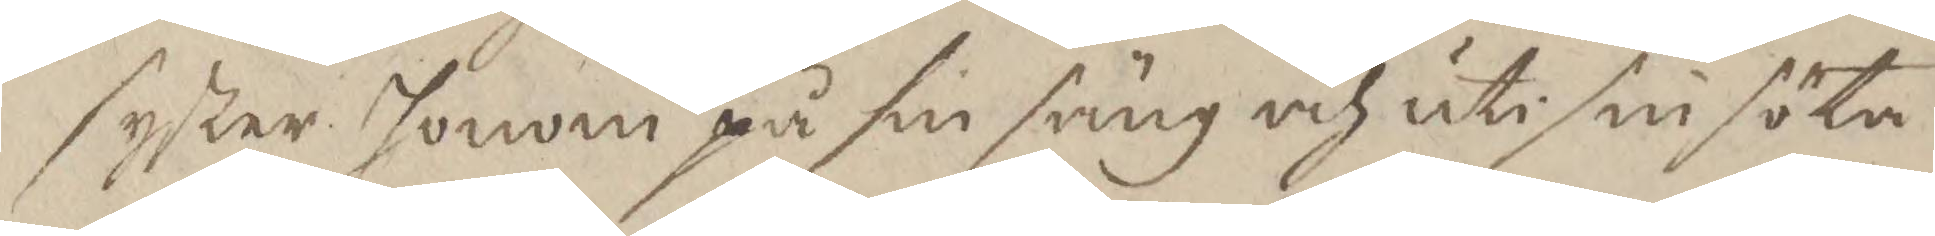syster honom på sin säng och uti sin söta
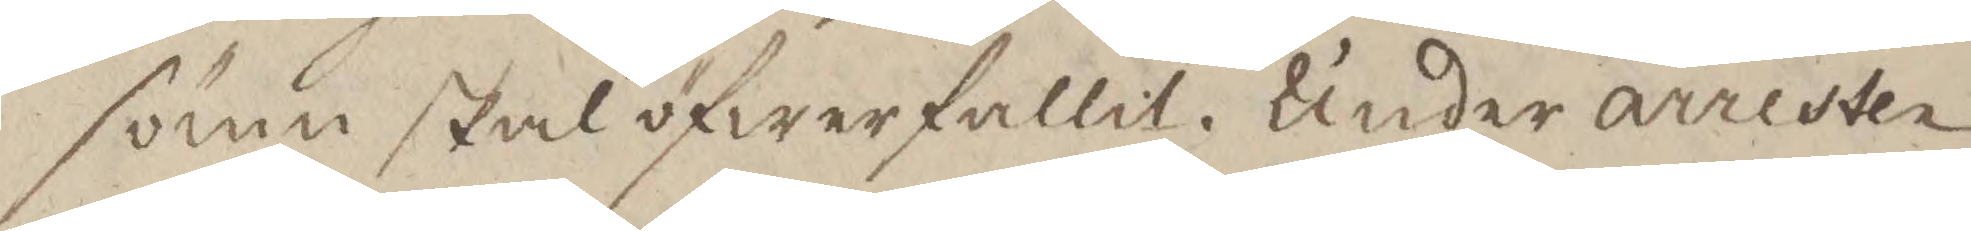sömn skal öfwerfallit. Under arresten
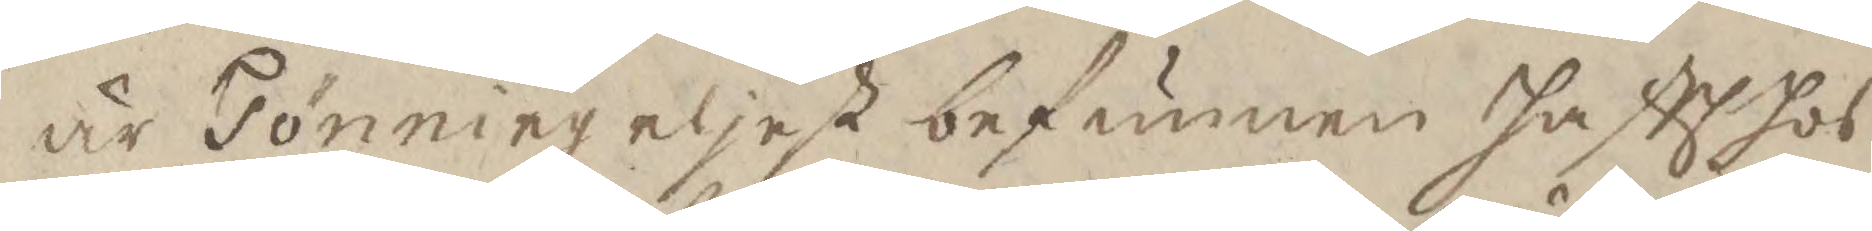är Tönning eljest befunnen haftt hos
